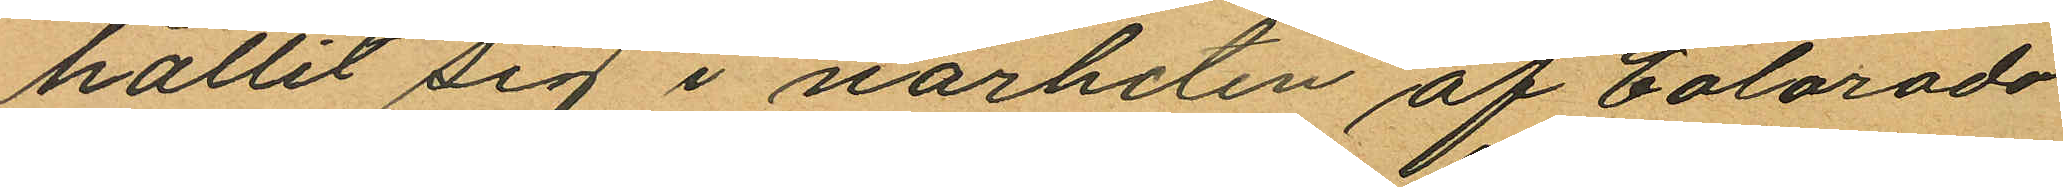hållit sig i närheten af Colorado
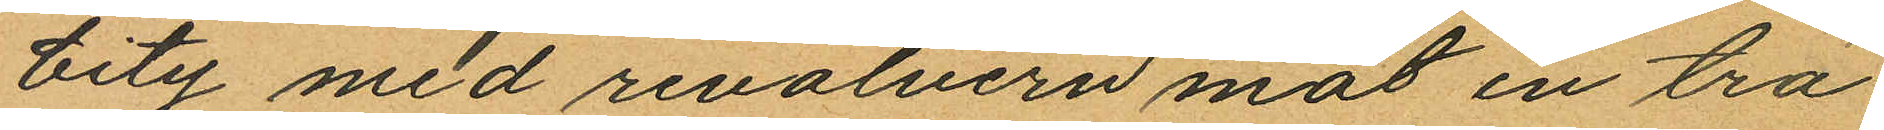City med revolvern mot en trä
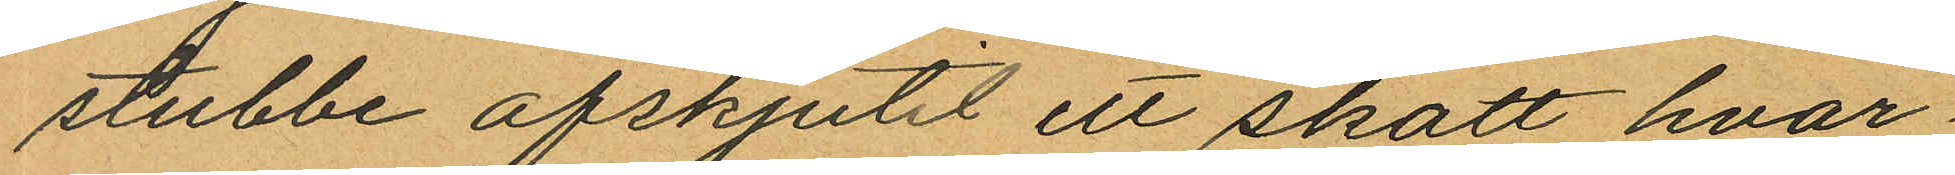stubbe afskjutit ett skott hvar
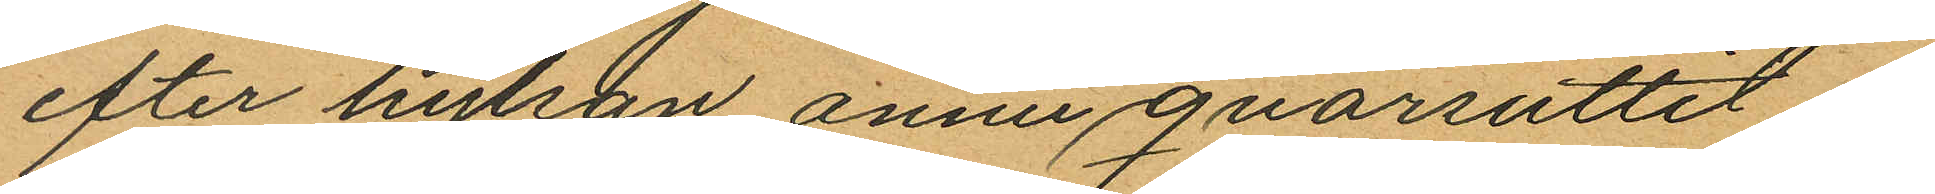efter hylsan ännu qvarsuttit i
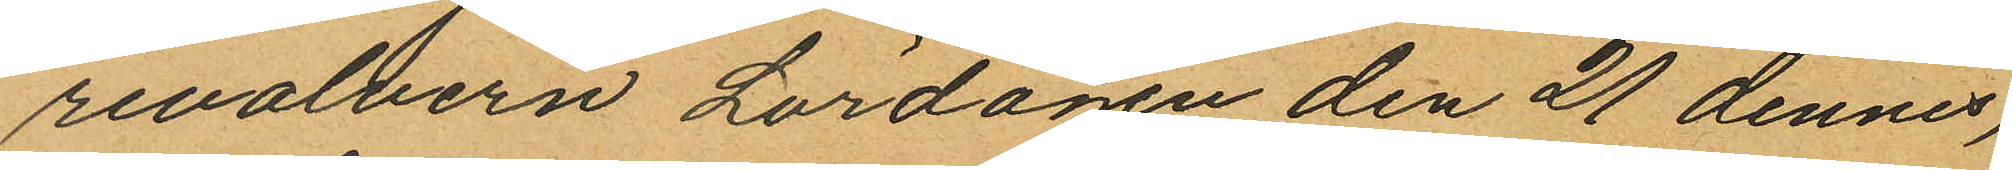revolvern Lördagen den 21 dennes,
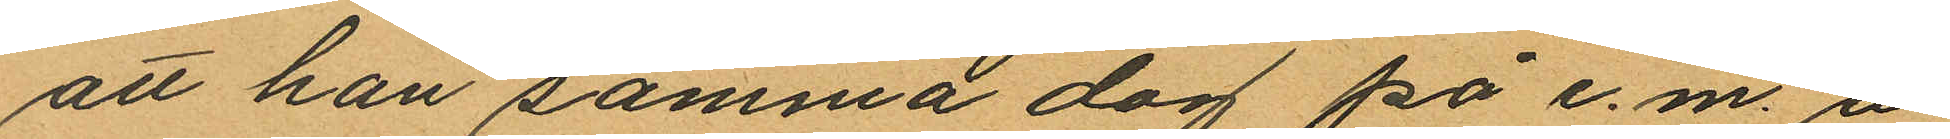att han samma dag på e.m. å
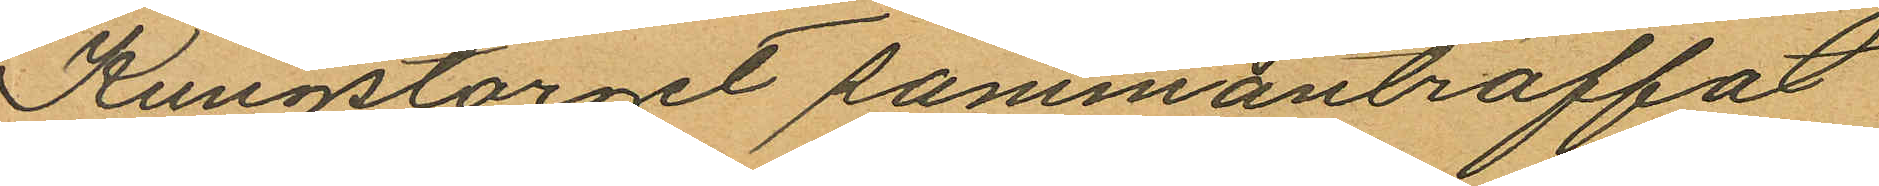Kungstorget sammanträffat
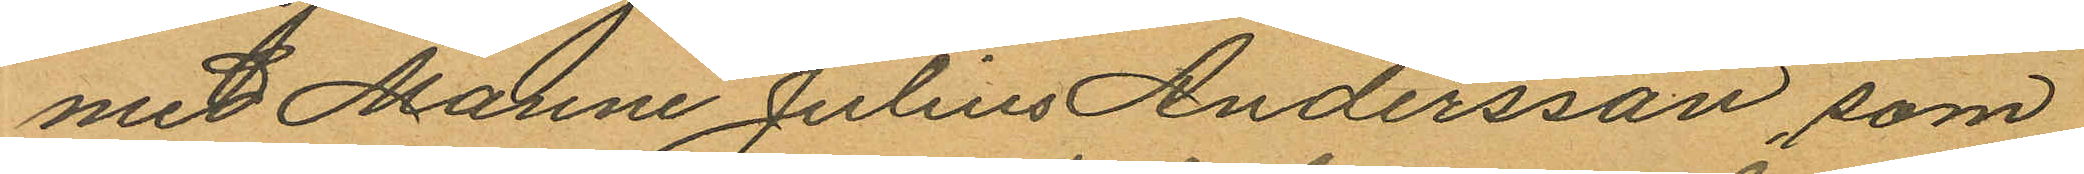med Manne Julius Andersson, som
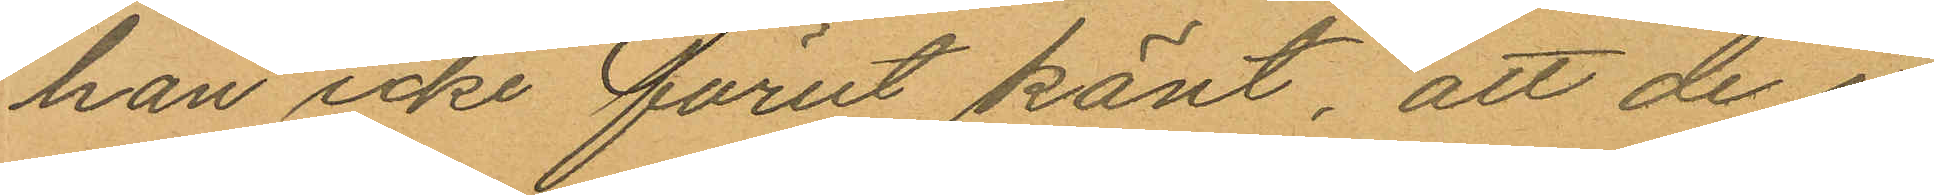han icke förut känt, att de i
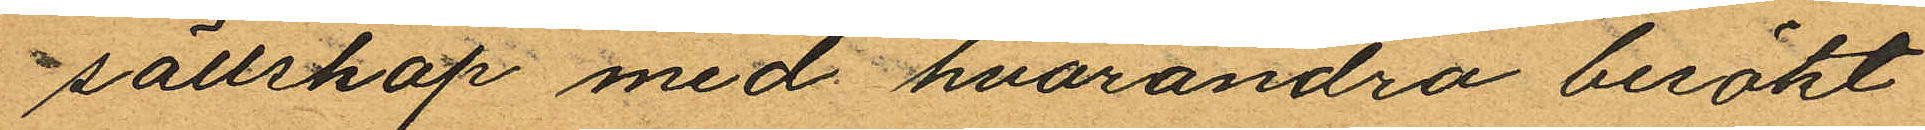sällskap med hvarandra besökt
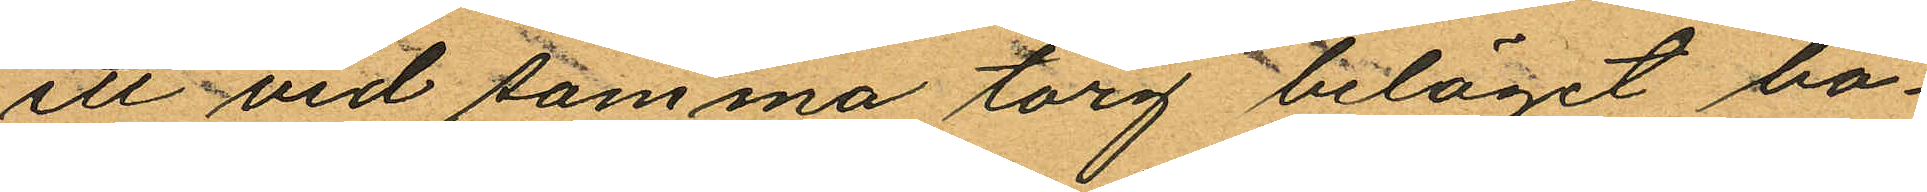ett vid samma torg beläget bo¬
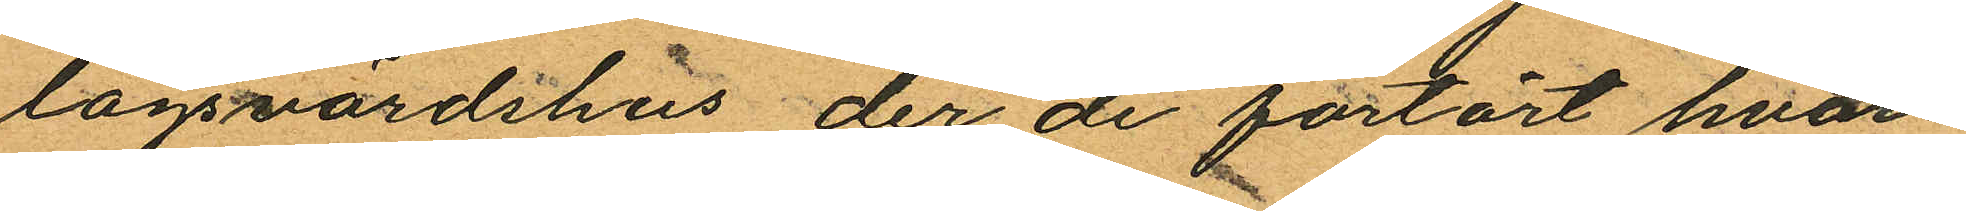lagsvärdshus, der de förtärt hvar¬
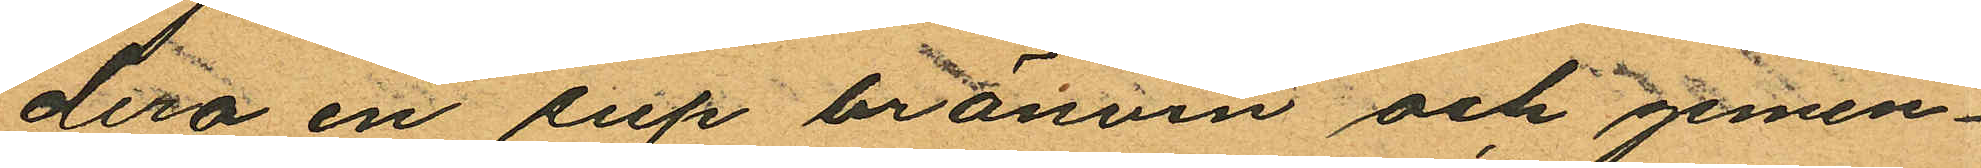dera en sup bränvin och gemen¬
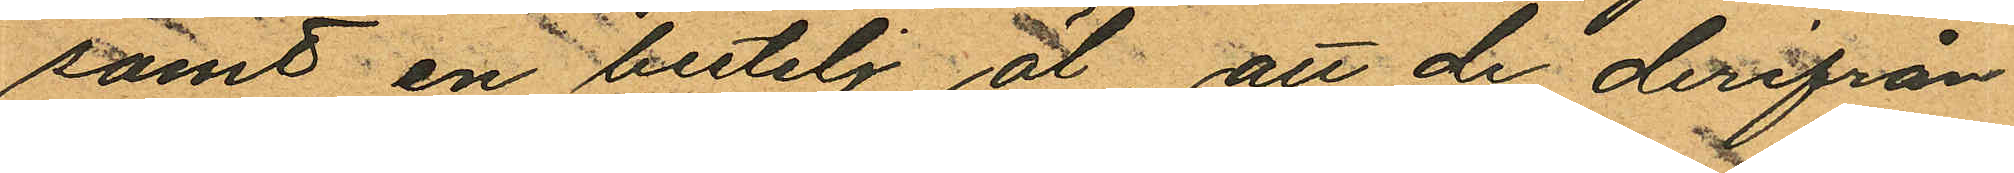samt en butelj öl, att de derifrån
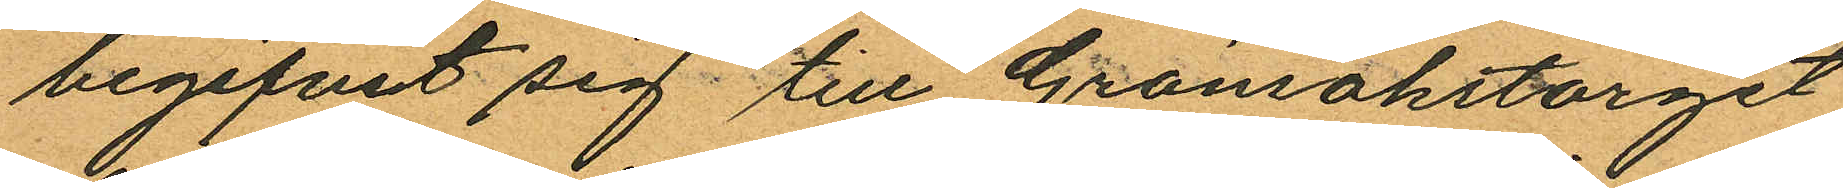begifvit sig till Grönsakstorget
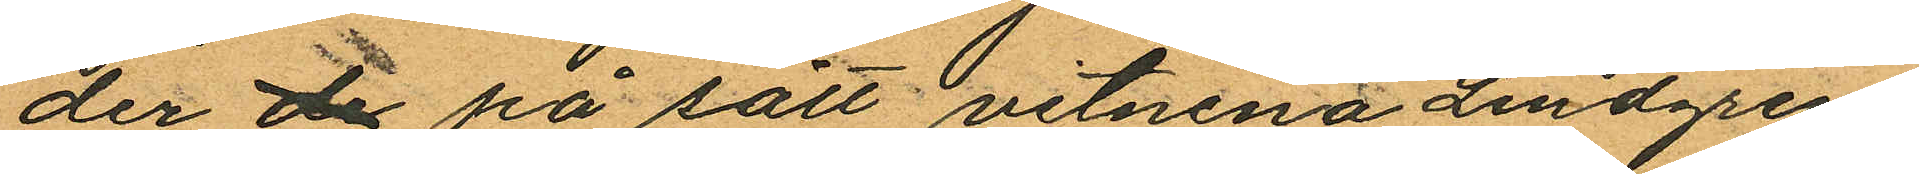der de på sätt vitnena Lindgren
